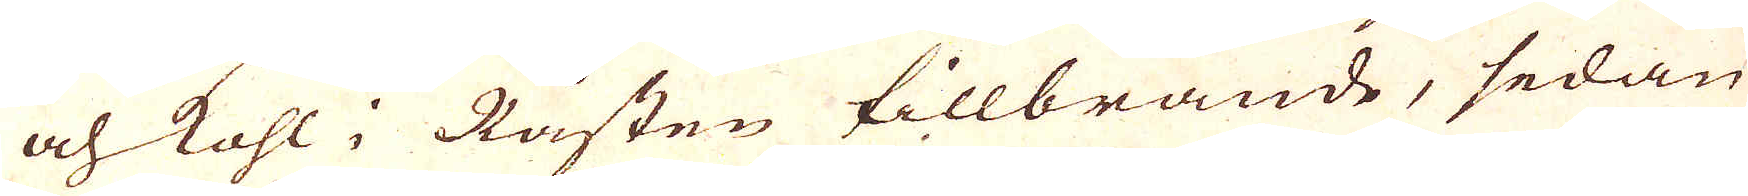och kohl i Råsten tillbrände, sedan
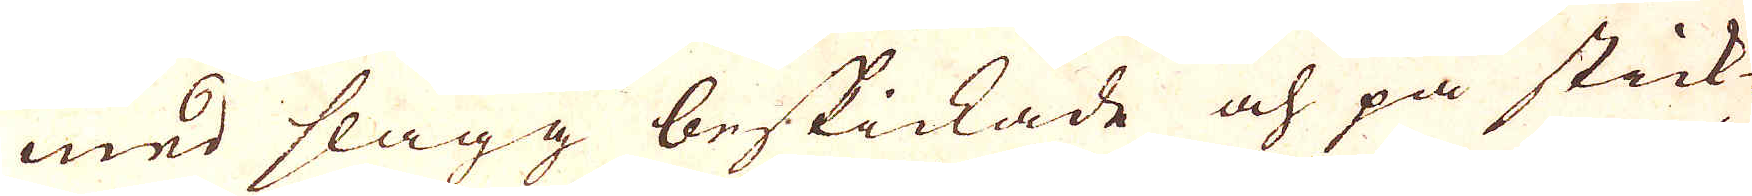med slagg beskickade och på stick
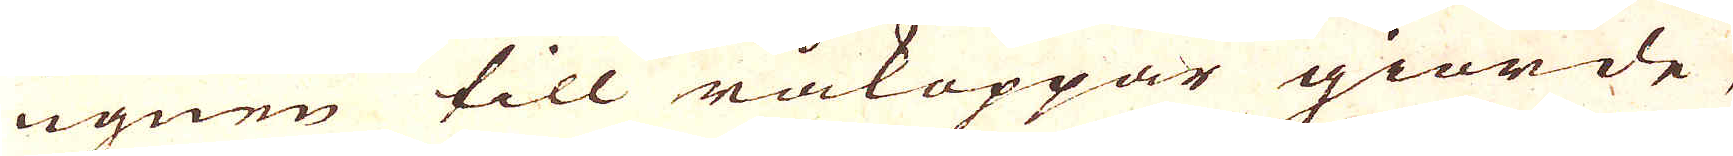ugnen till råkoppar giorde,
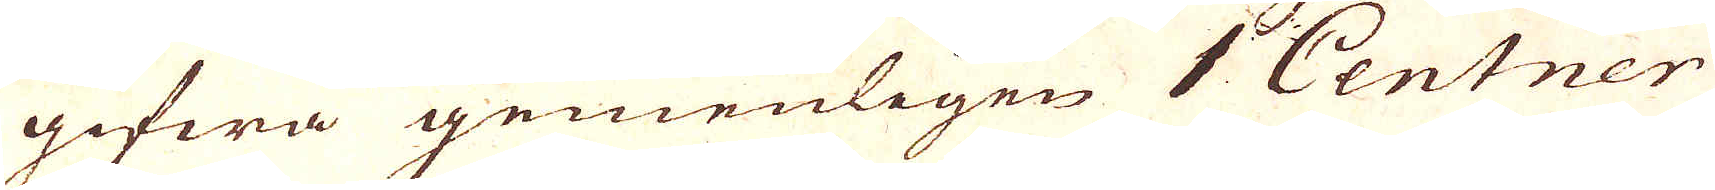gifwa gemenligen 1 Centner
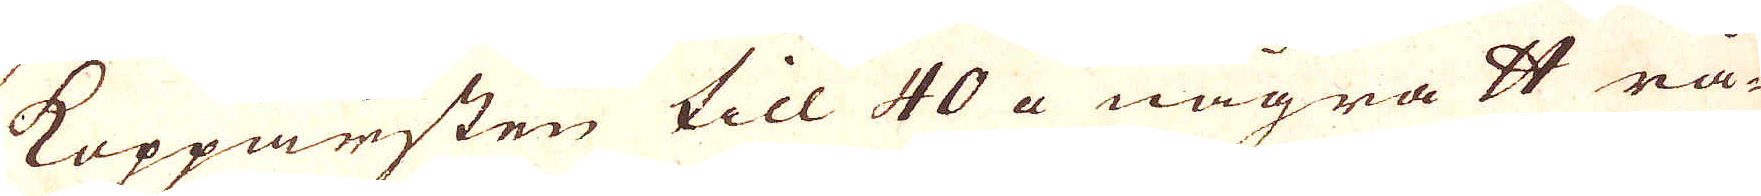Kopparsten till 40 a några skålpund rå-
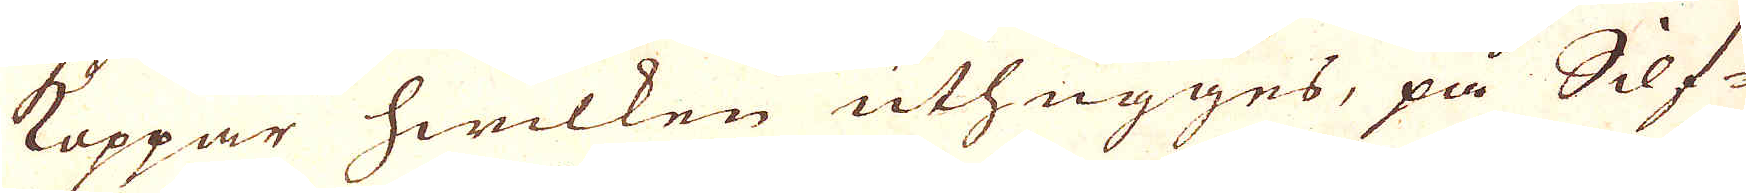Koppar hwilken uthugges, på Silf-
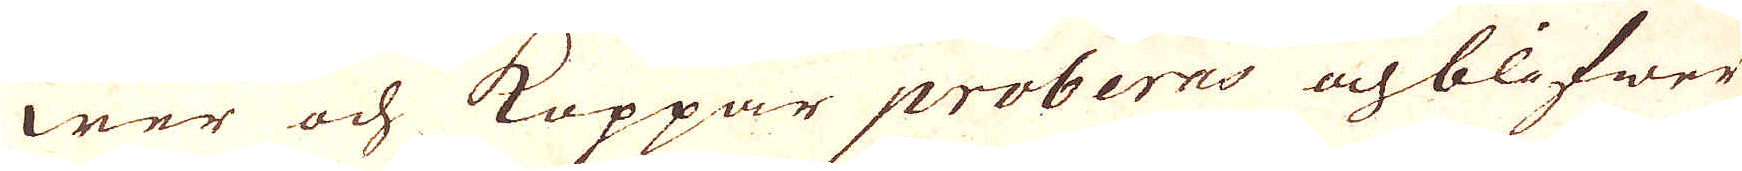wer och Koppar proberns och blifwer
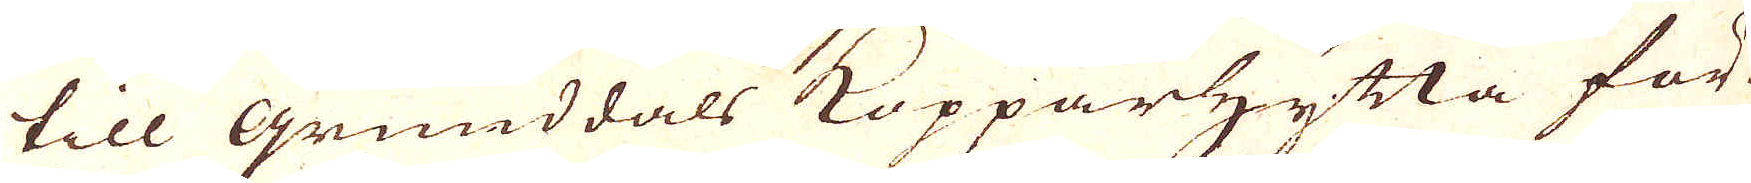till Grunddals Kopparhytta för
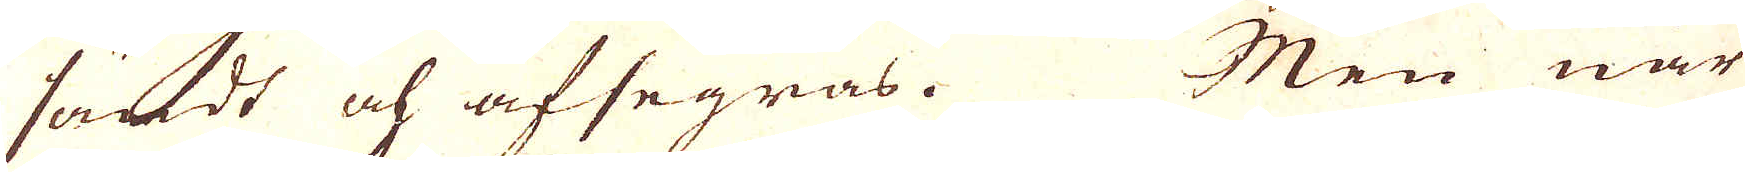sädt och afsegras. Men när
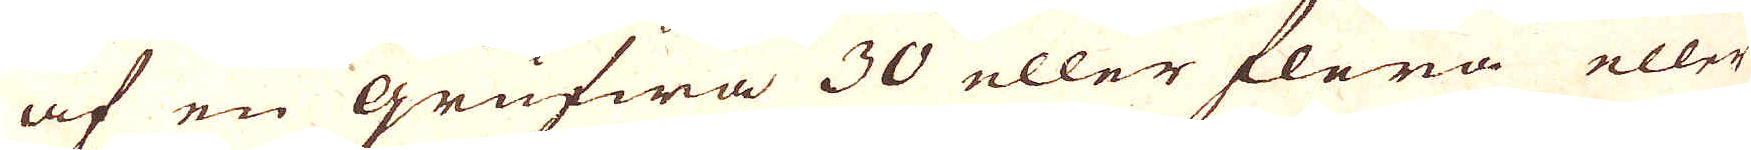af en Grufwa 30 eller flera eller
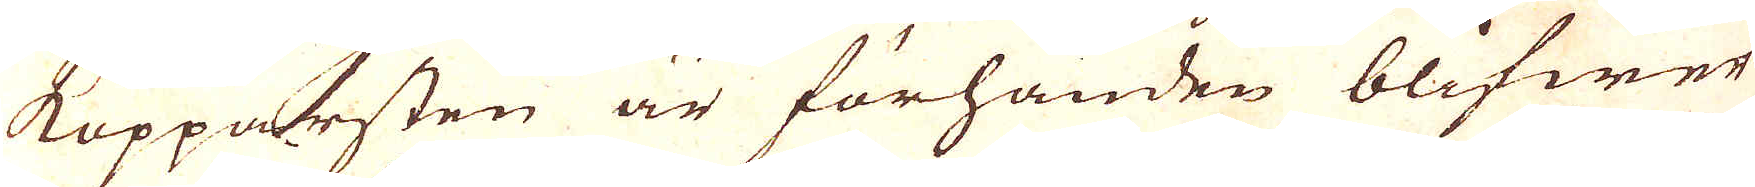Kopparsten är förhanden blifwer
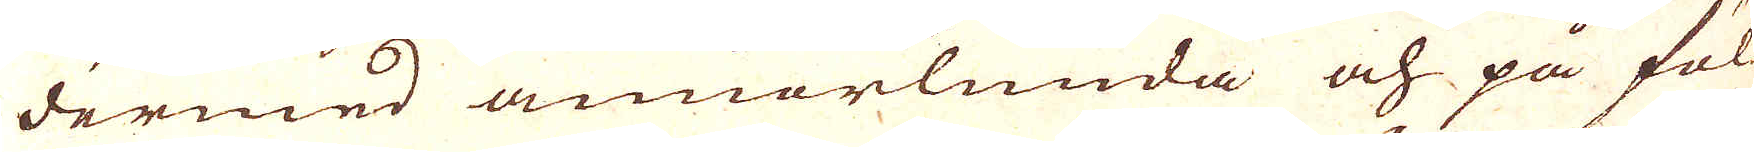dermed annorlunda och på föl-
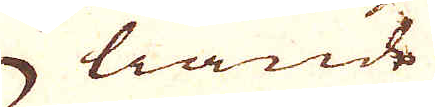liande
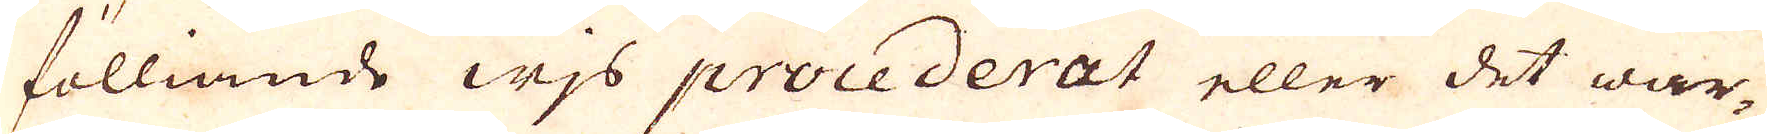fölliande wjs procederat eller det war-
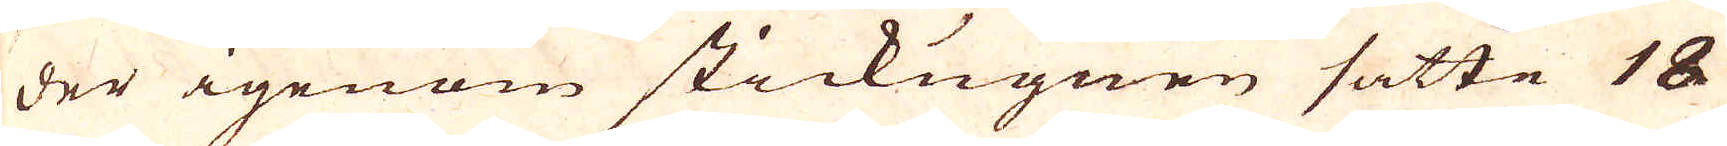der igenom stickugnen satte 18
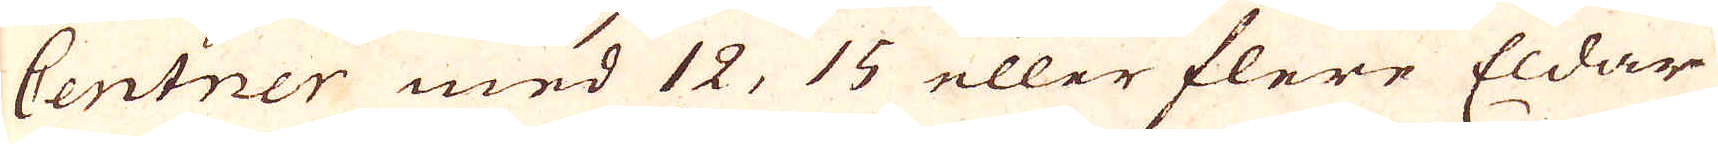Centner med 12, 15 eller flere Eldar
